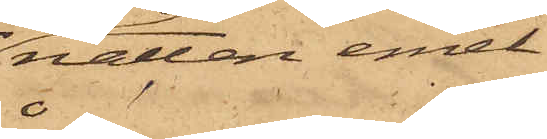natten emel¬
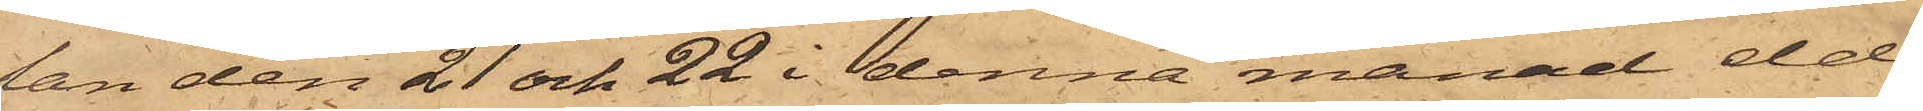lan den 21 och 22 i denna månad eld
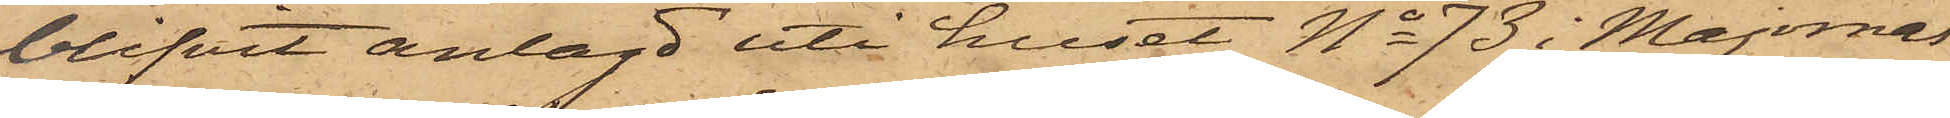blifvit anlagd uti huset No 73 i Majornas
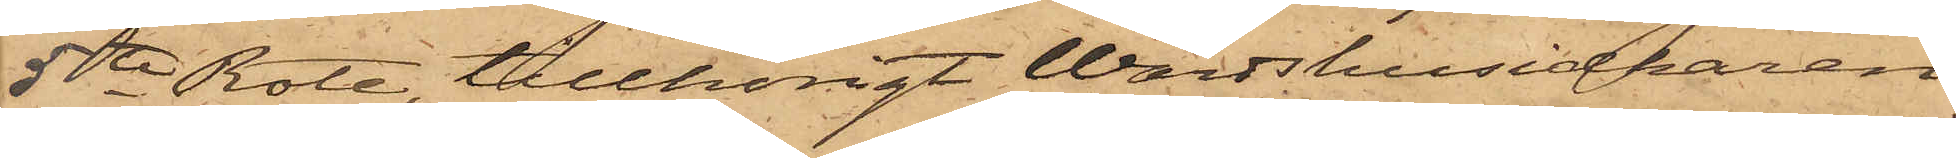5te Rote, tillhörigt Wärdshusidkaren
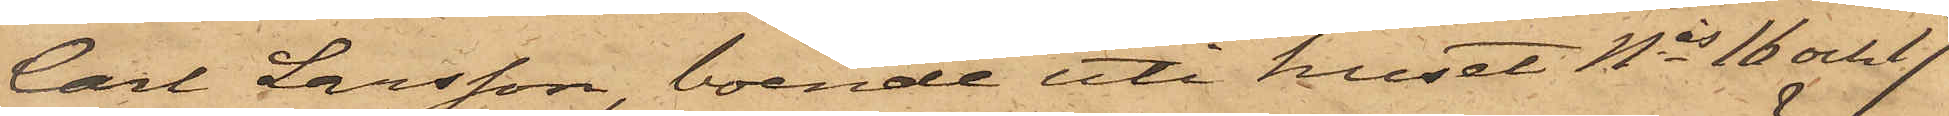Carl Larsson, boende uti huset Nis 16 och 17
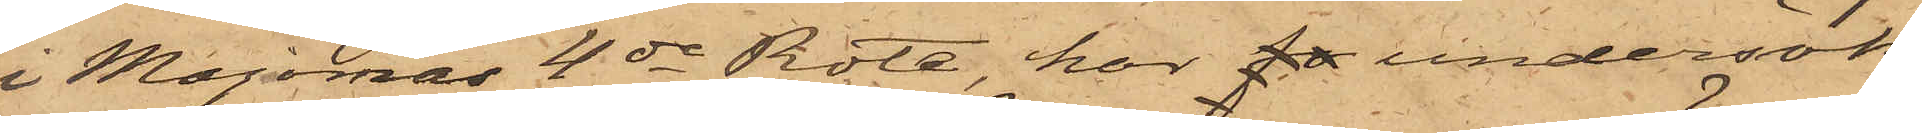i Majornas 4de Rote, har  undersök¬
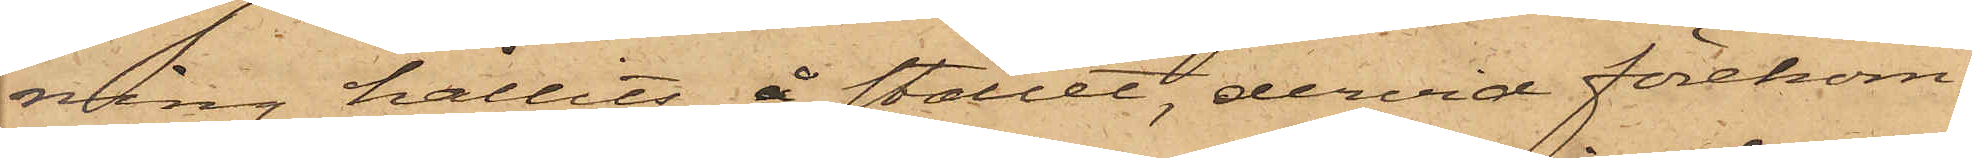ning hållits å stället, dervid förekom¬
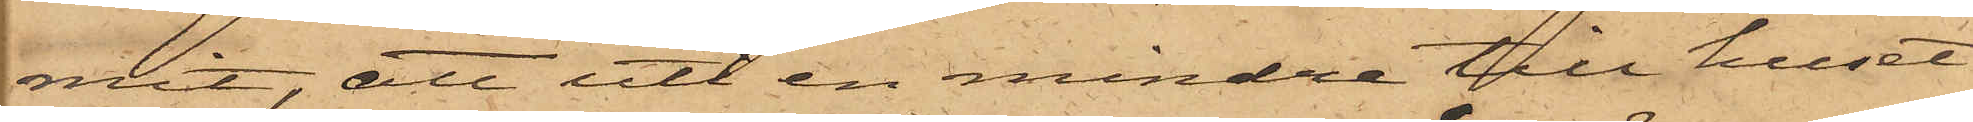mit, att uti en mindre till huset
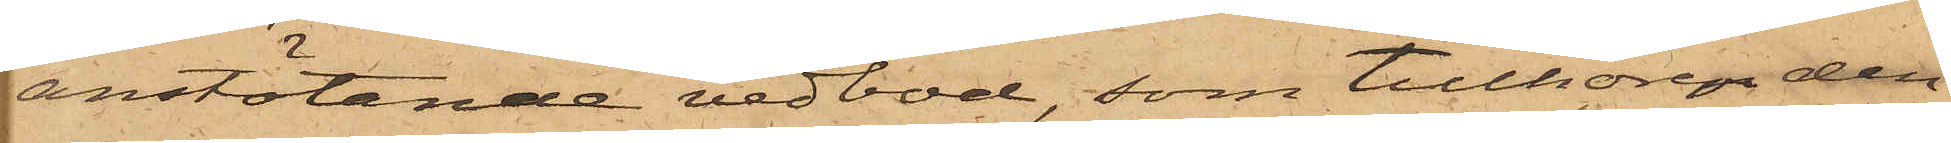anstötande vedbod, som tillhörer den
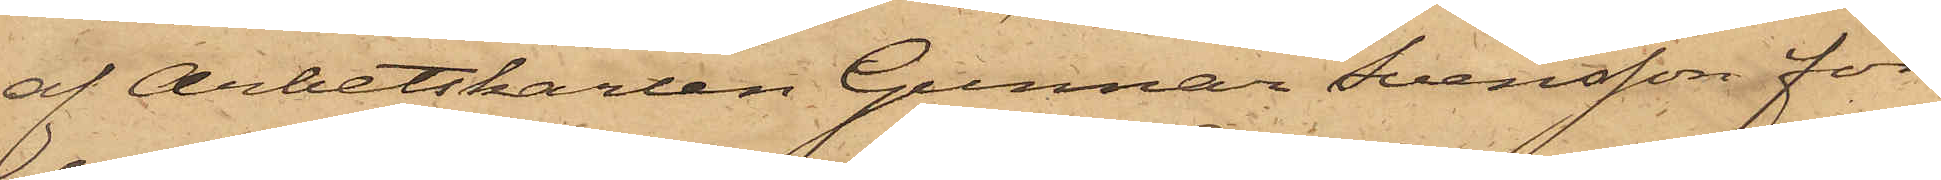af Arbetskarlen Gunnar Svensson för¬
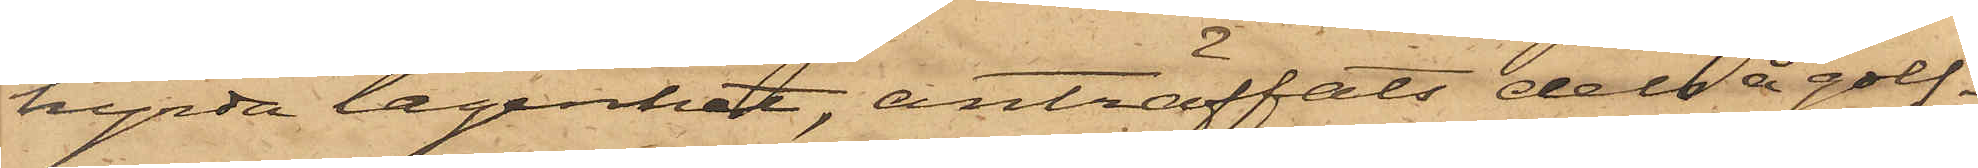hyrda lägenhet, anträffats dels å golf¬
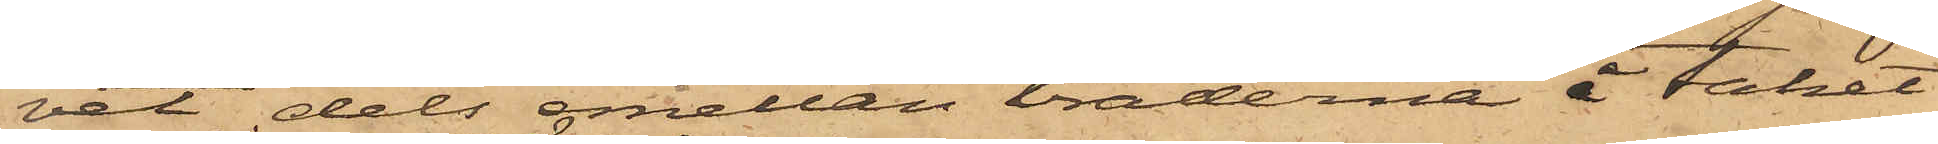vet dels emellan bräderna å taket
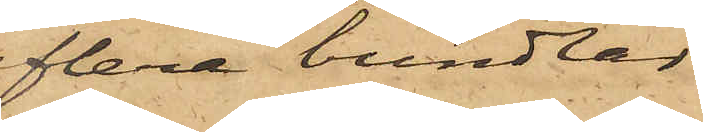flera bundtar
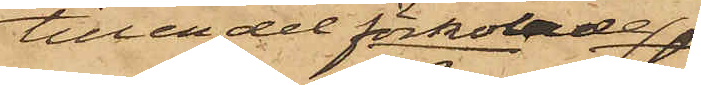till en del förkolade
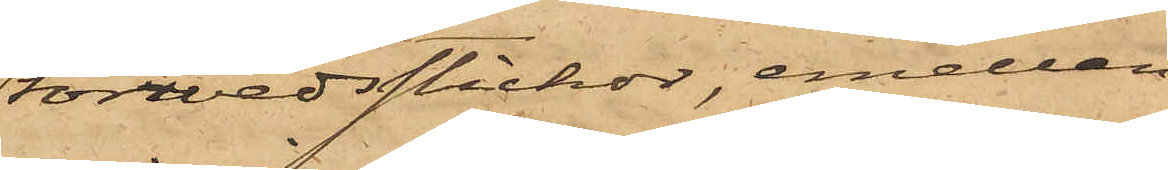torrvedsstickor, emellan
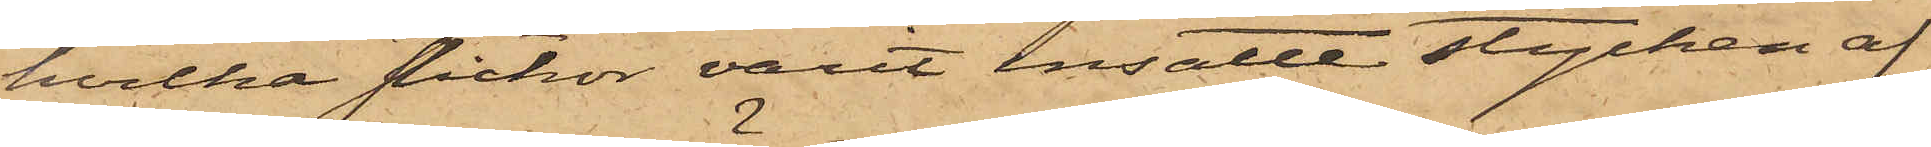hvilka stickor varit insatte stycken af
